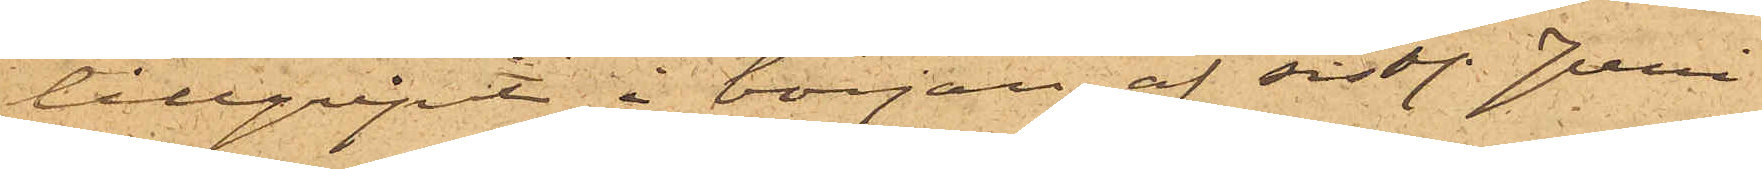tillgript i början af sist. Juni
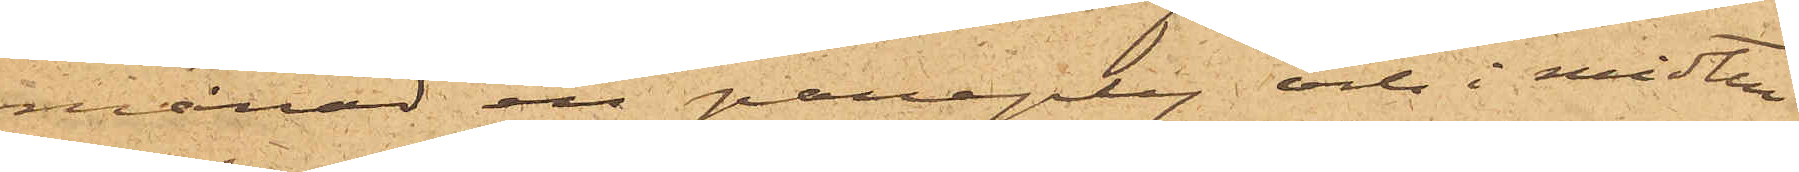månad en paraply och i midten
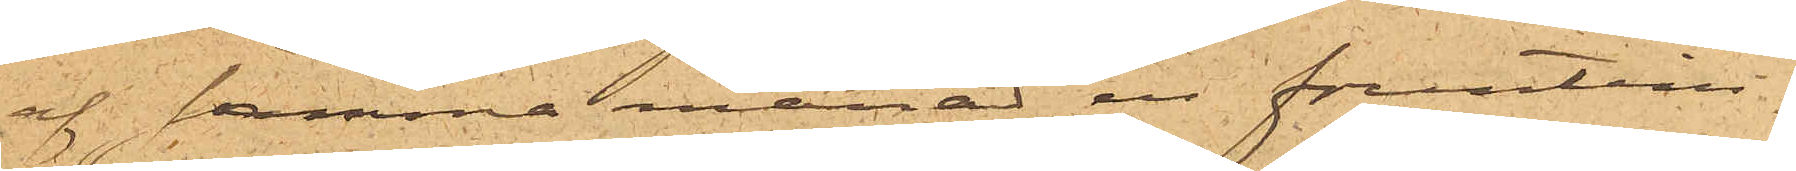af samma månad en fruntim¬
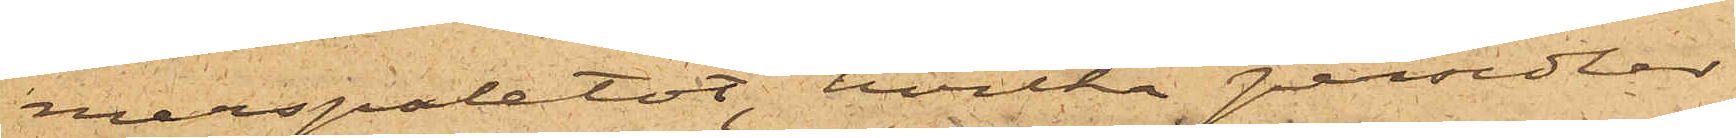merspaletot, hvilka persedlar
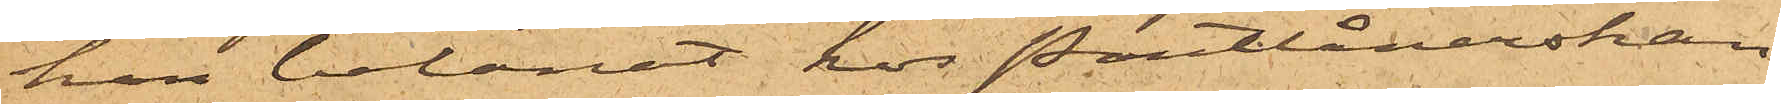han belånat hos Pantlånerskan
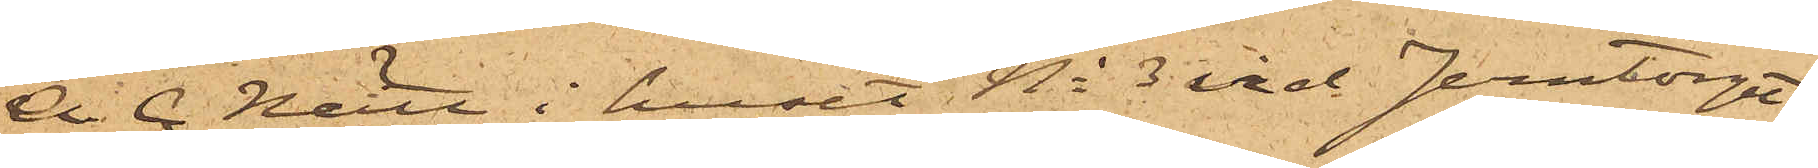A. C. Nätt i huset No 3 vid Jerntorget,
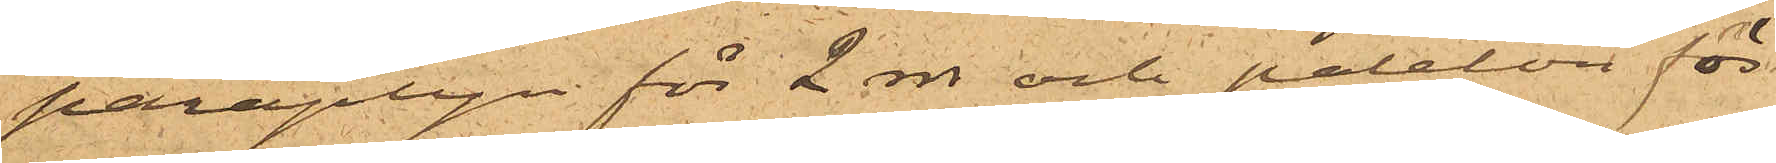paraplyn för 2 rdr och paleton för
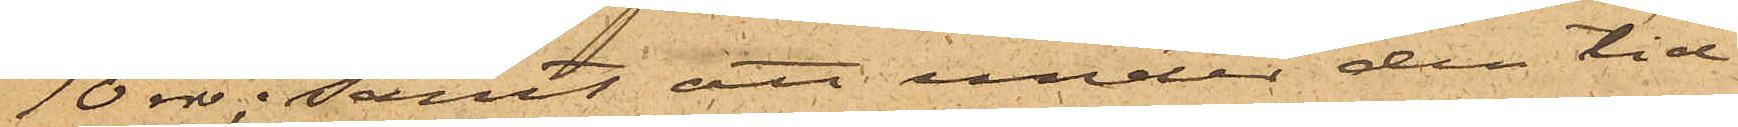10 rdr; samt att under den tid
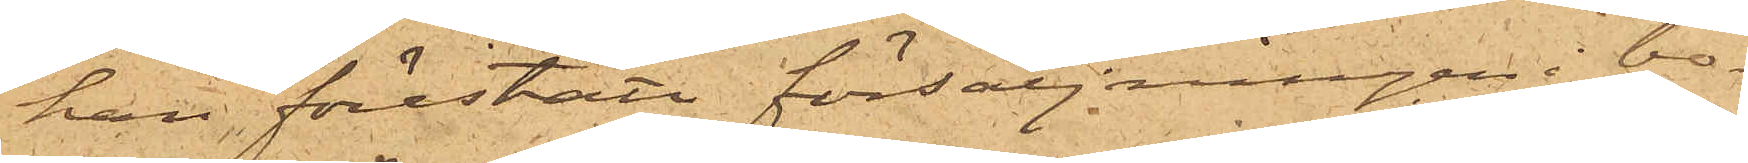han förestått försäljningen i bo¬
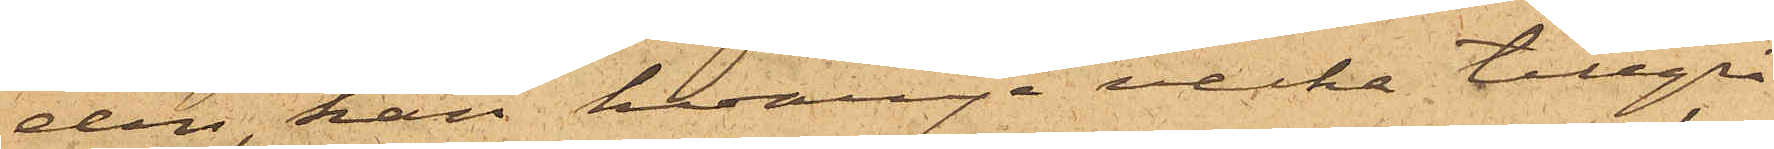den, han hvarje vecka tillgri¬
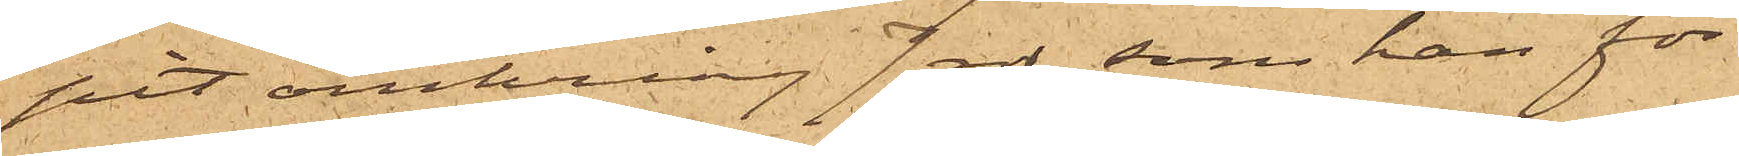pit omkring 7 rdr, som han för
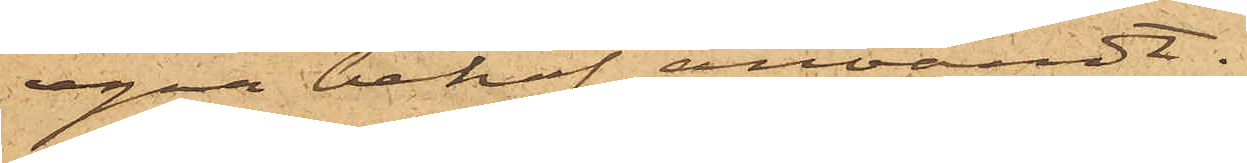egna behof användt.
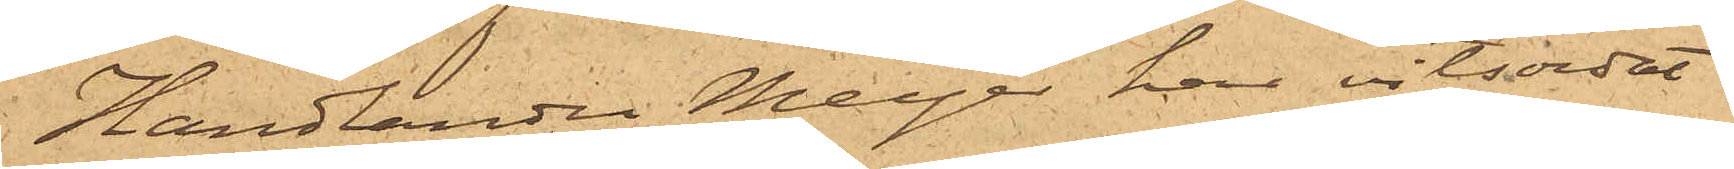Handlanden Meyer har vitsordat
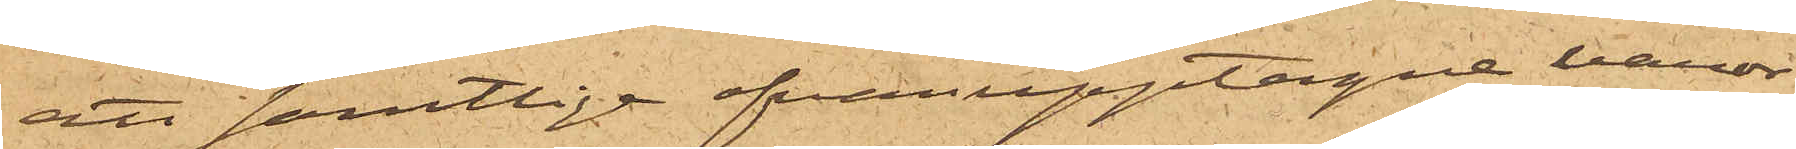att samtlige ofvanupptagne vanor
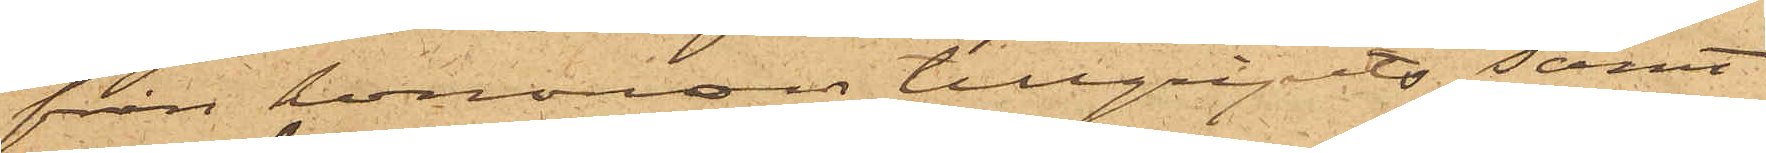från honomon tillgripits samt
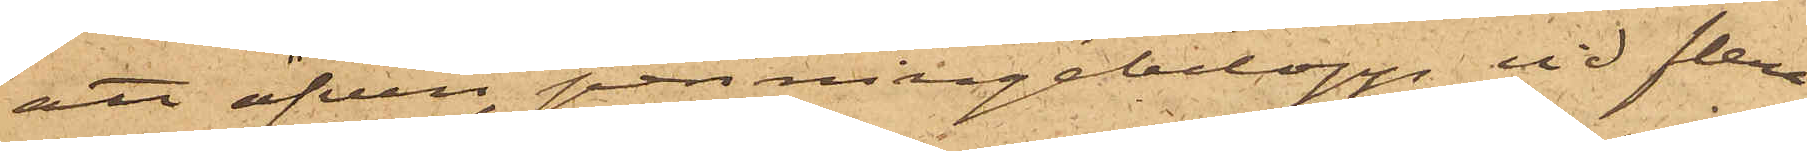att äfven penningebelopp, vid flera
